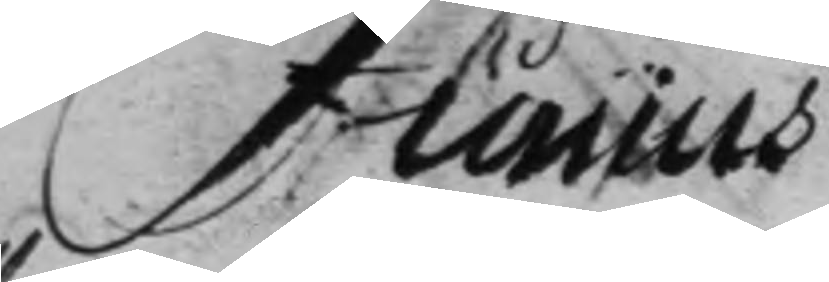Junius
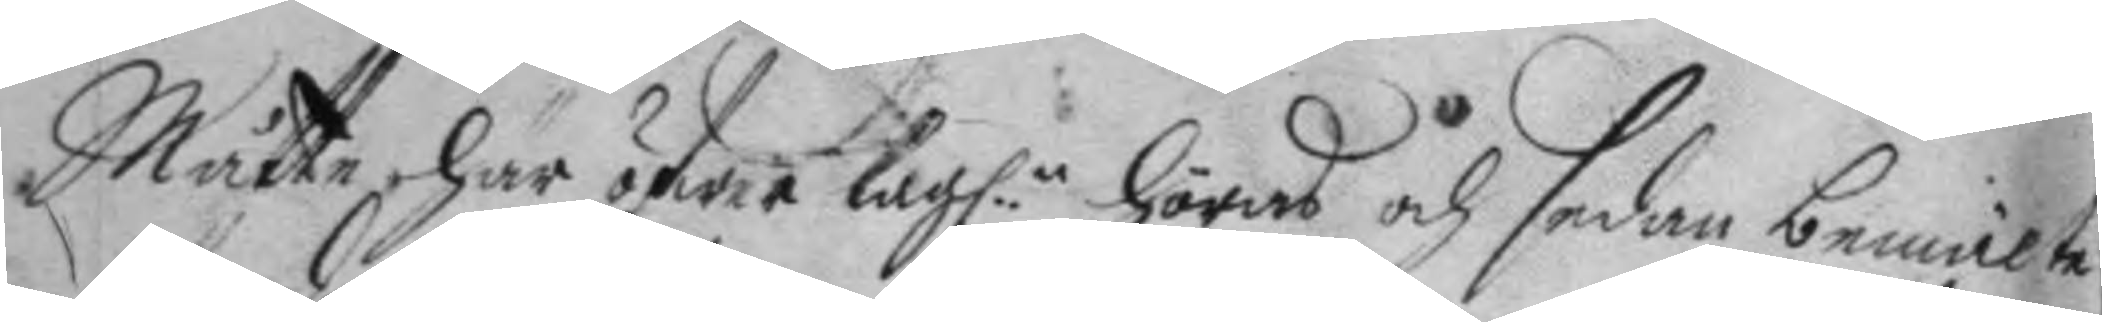Måtte här öfwer lag:n höras och sedan bemälte
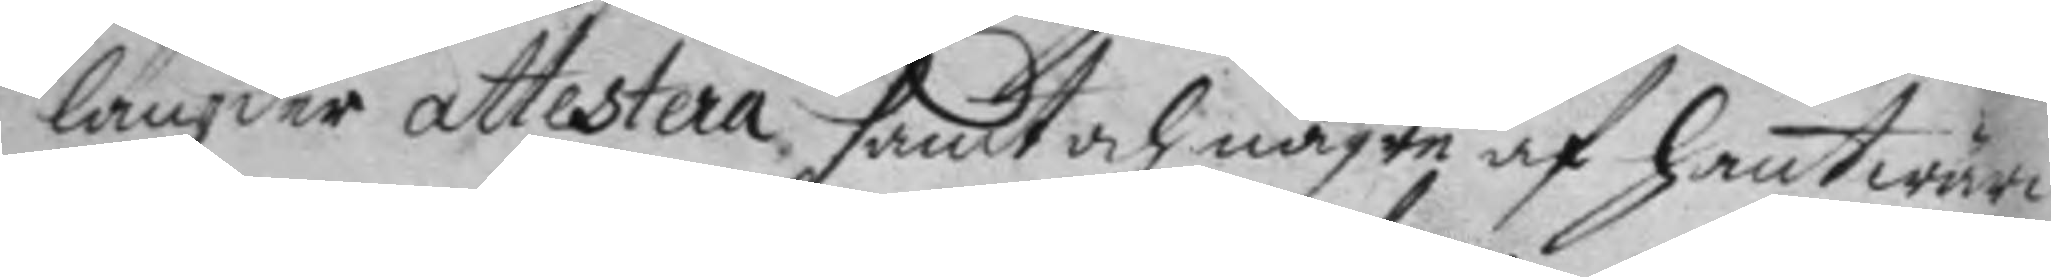längder atterstera samt och någre af hantwärc¬
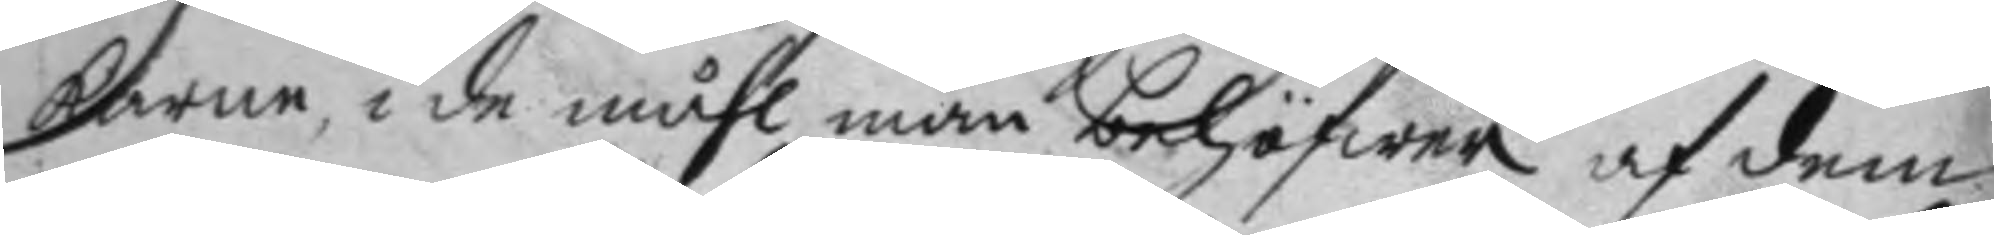karen, i de måhl man behögwer af dem
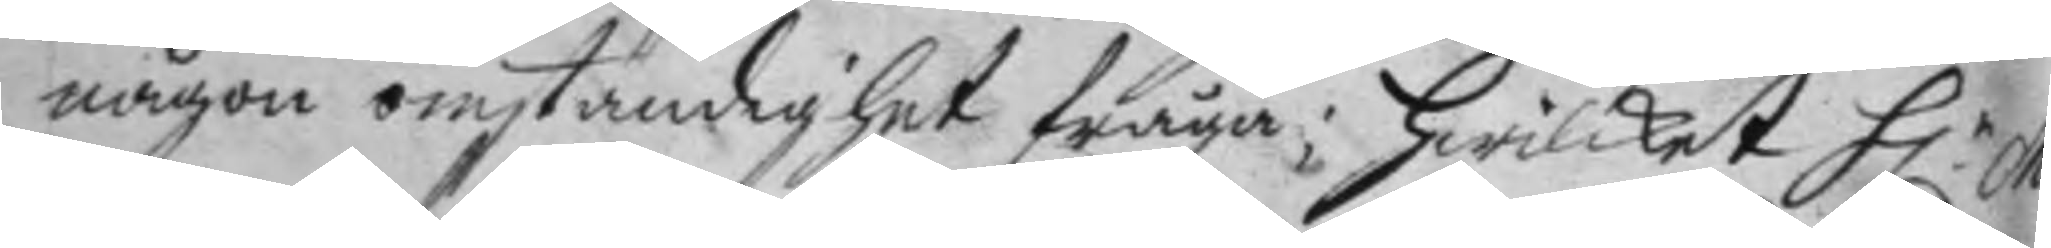någon omständighet fråga; hwilket H.r Ma¬
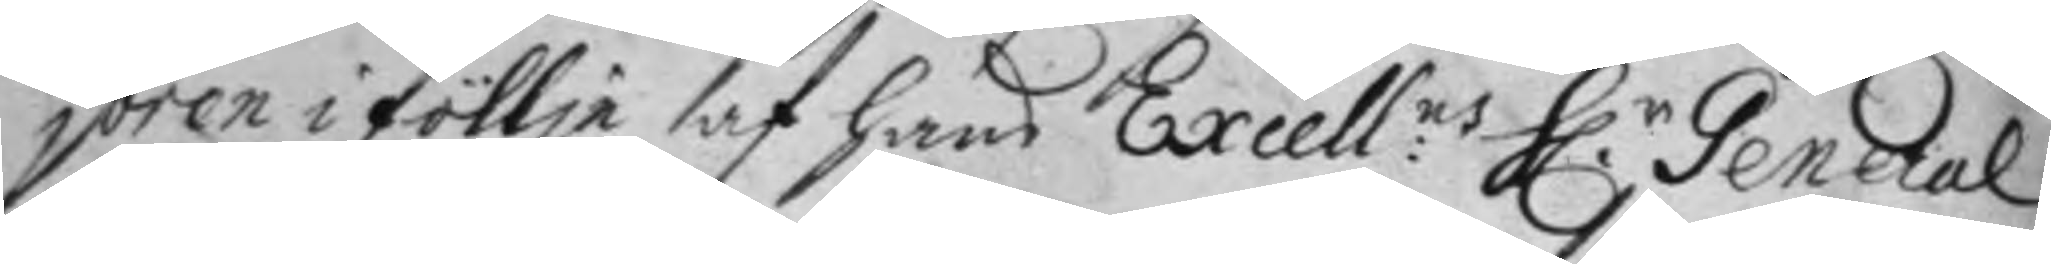joren i föllje af hans Excell:ns H.r General
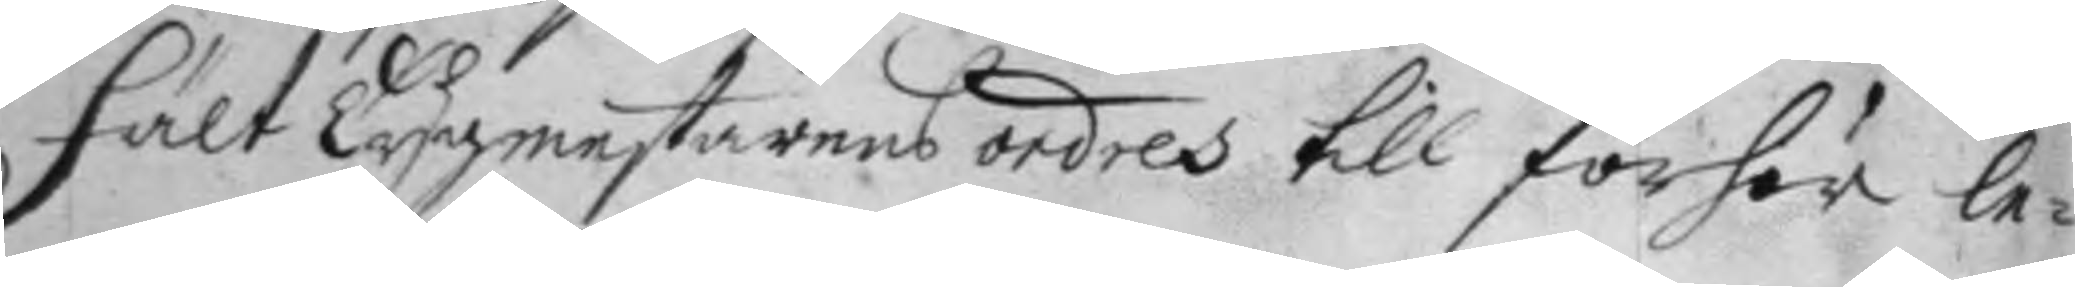Fält Tygmestarens ordres till förhör le¬
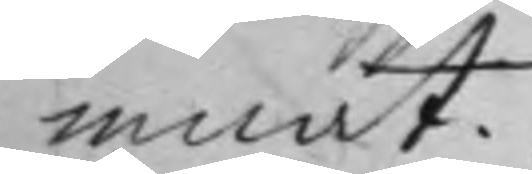mnat.
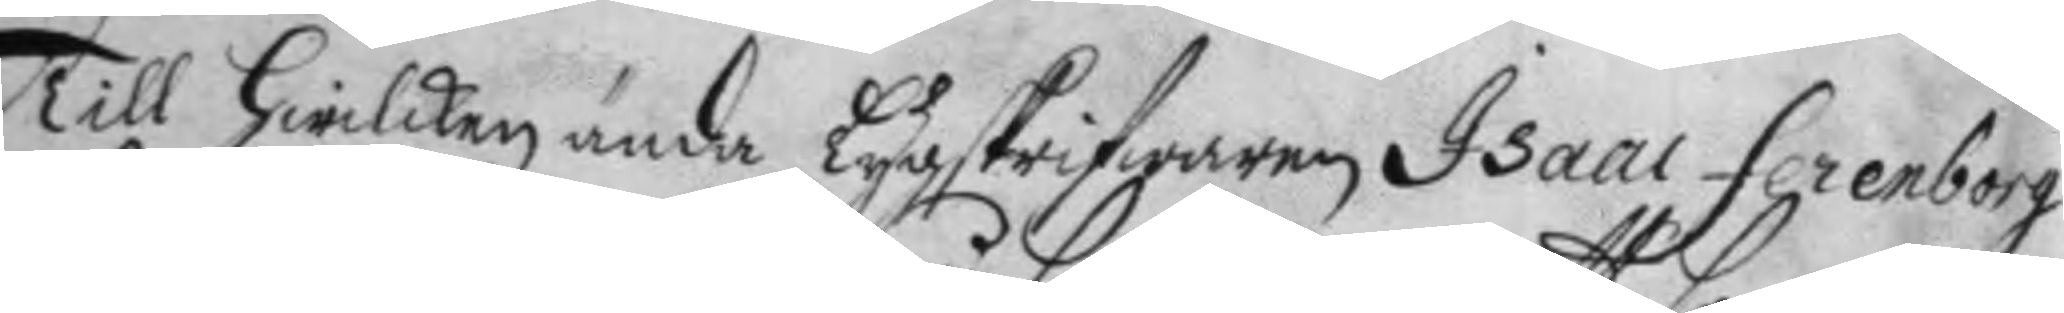Till hwilken ända Tygskrifwaren Isaac Fernborg
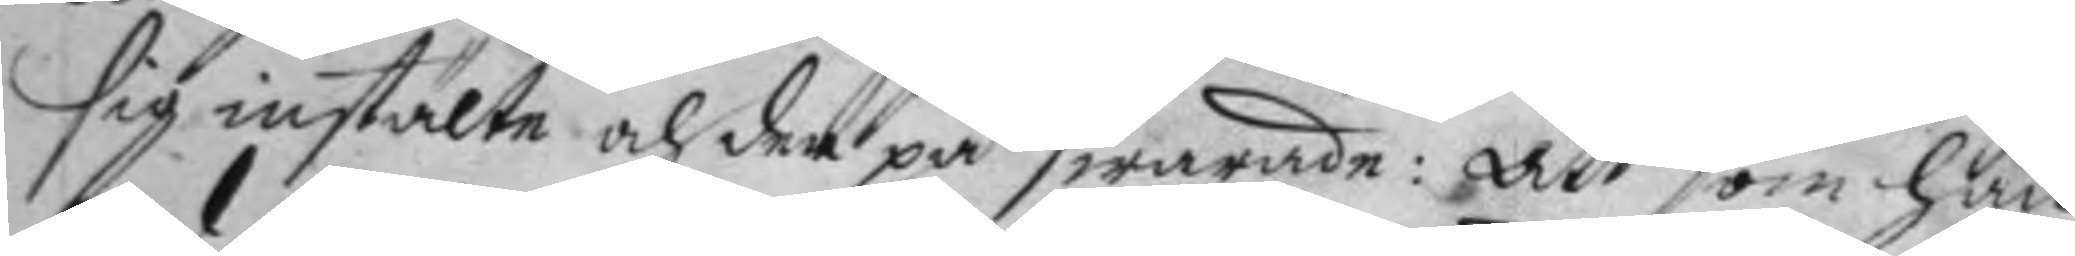sig instälte och der på swarade: Att som han
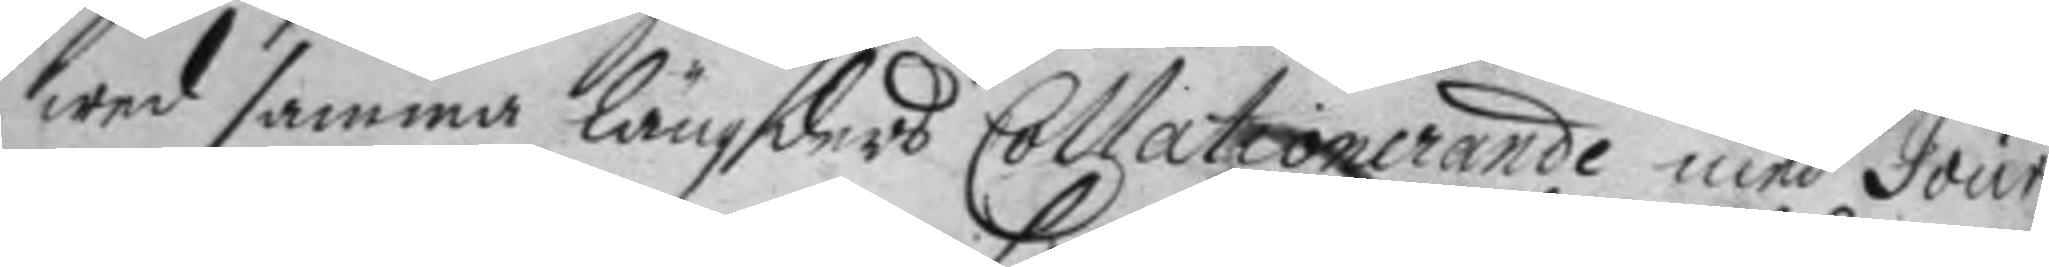wed samma längders Collationerande med Jour¬
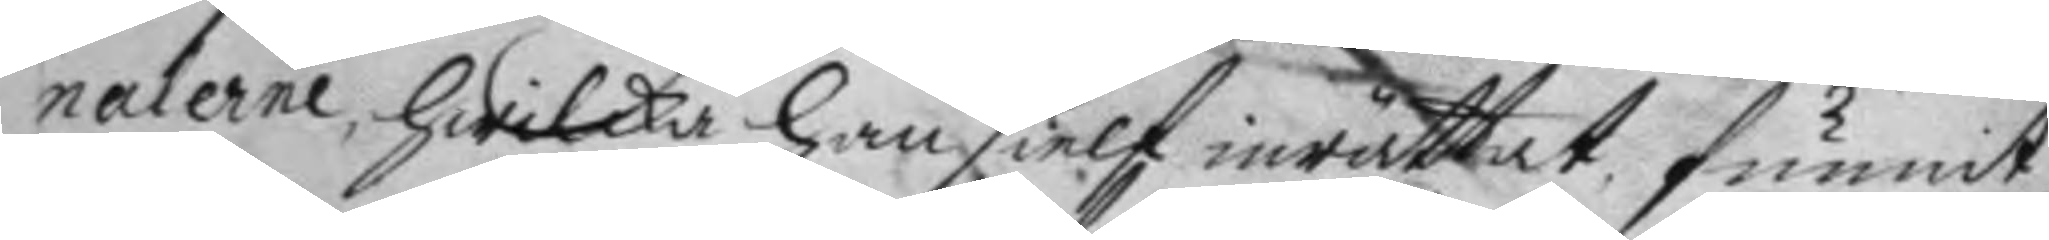nalerne, hwilka han sielf inrättat funnit
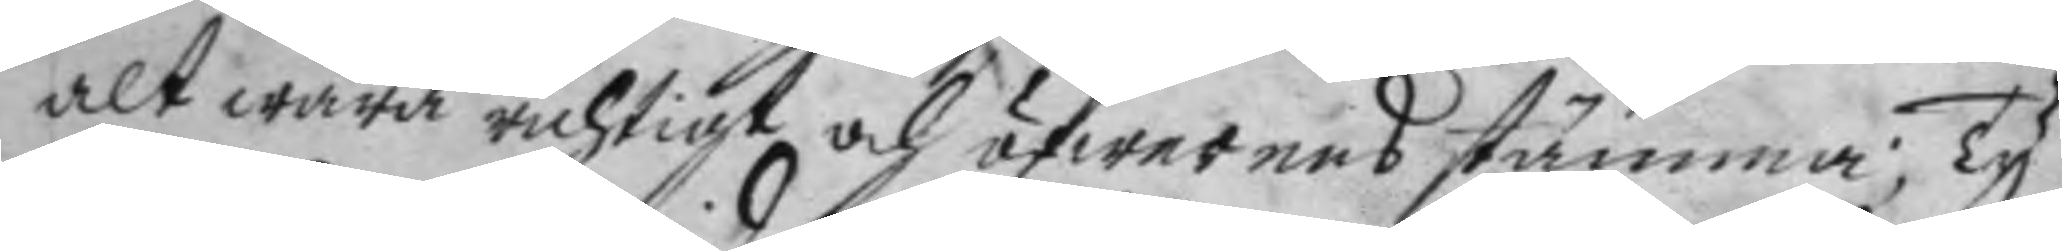alt wara richtigt och öfwerens stämma; Ty
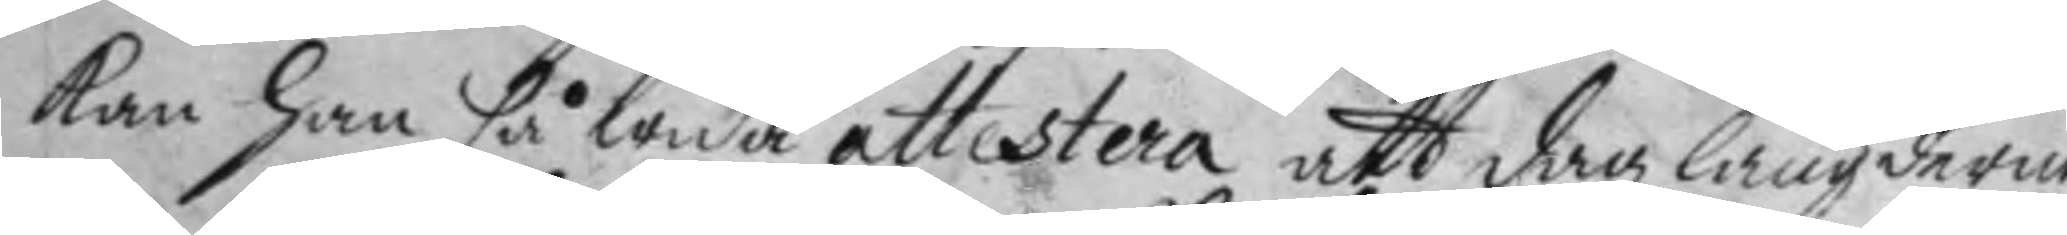kan han så wida attestera att dag längderne
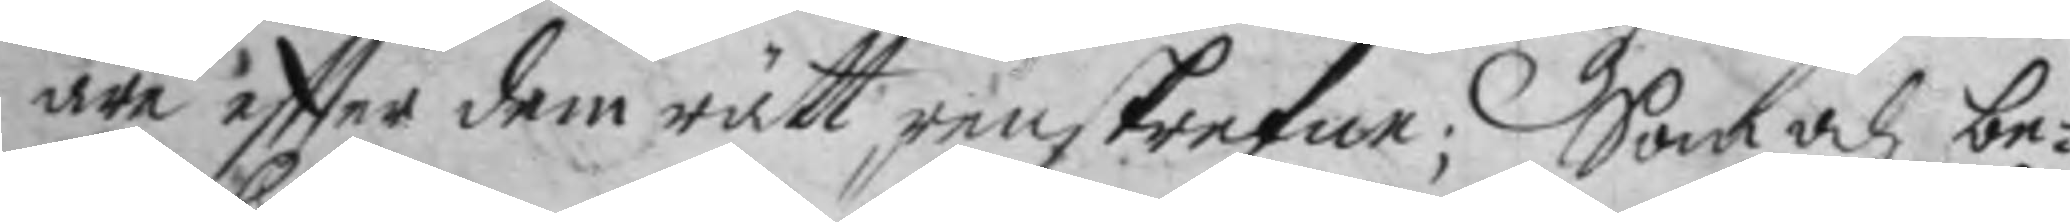äre eftter dem rätt renskrefne; Som och be¬
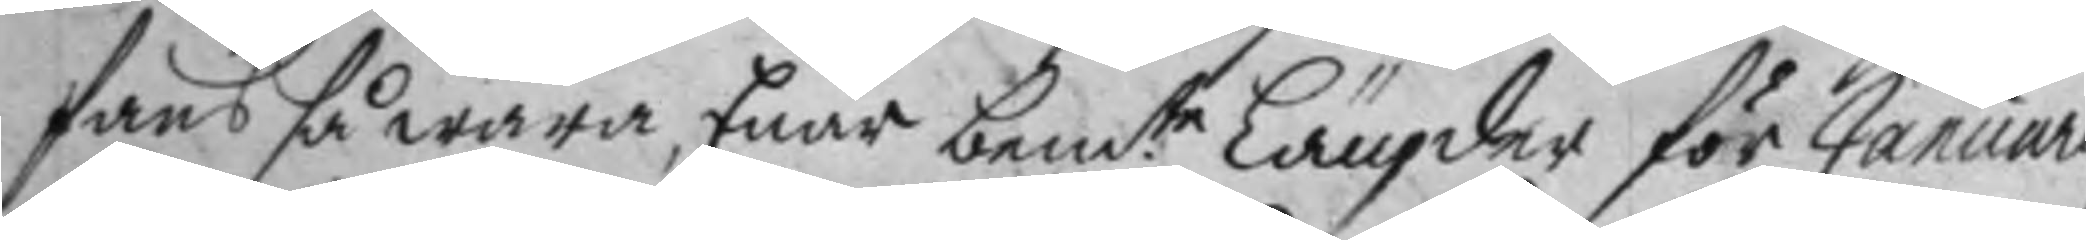fans så wara; Enär bem.te Längder för January
